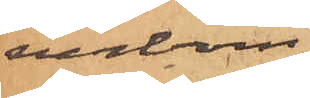erbom
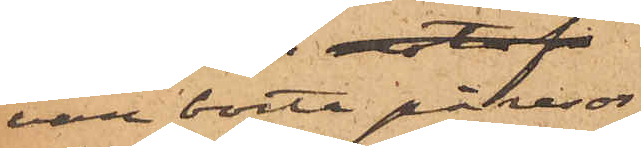vore borta på resor
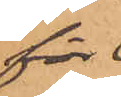för 
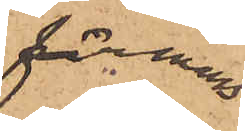firmans
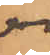räkning,
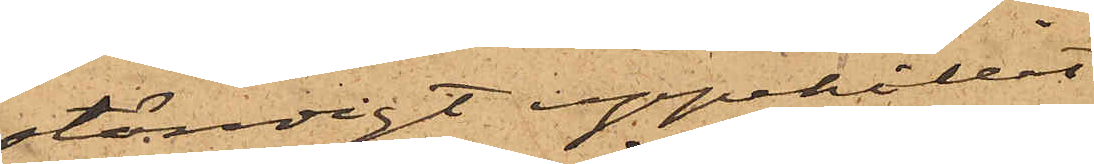ständigt uppehållit
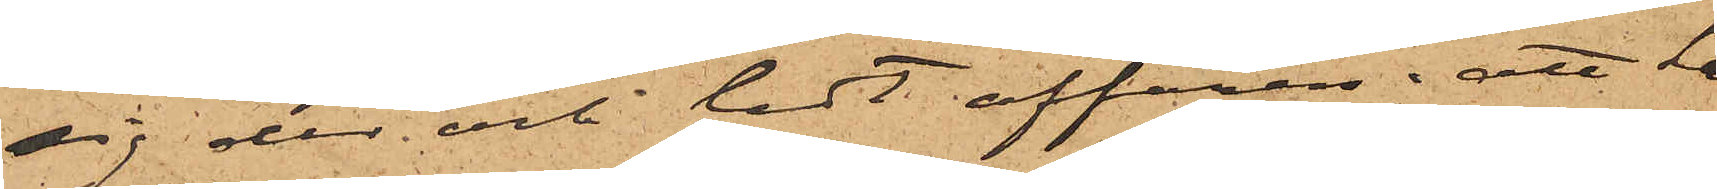sig der och ledt affären; att han
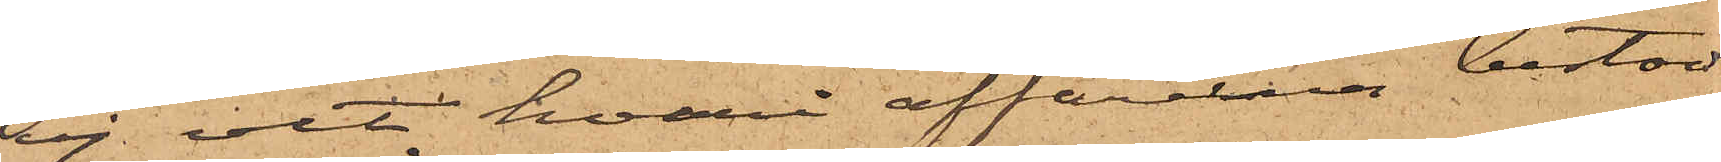ej vet hvari affärerna bestod
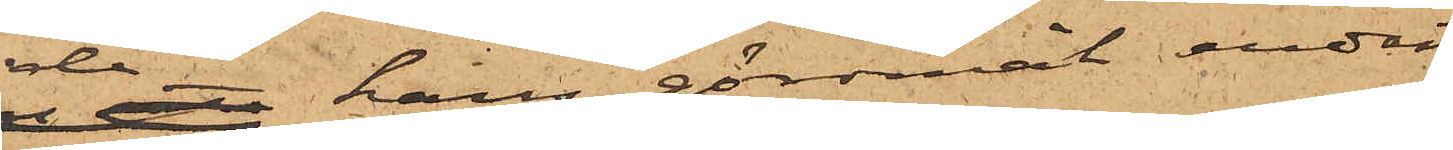då hans göromål endast
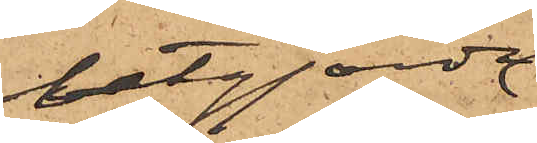utgjorde
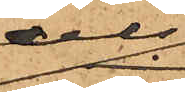dels
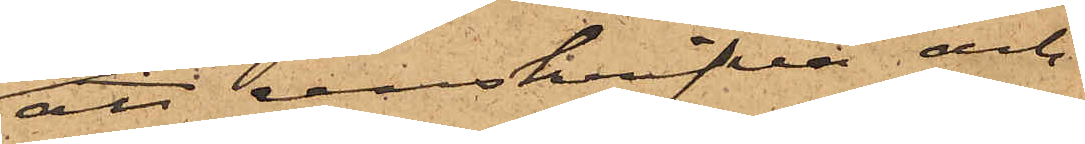att renskrifva och
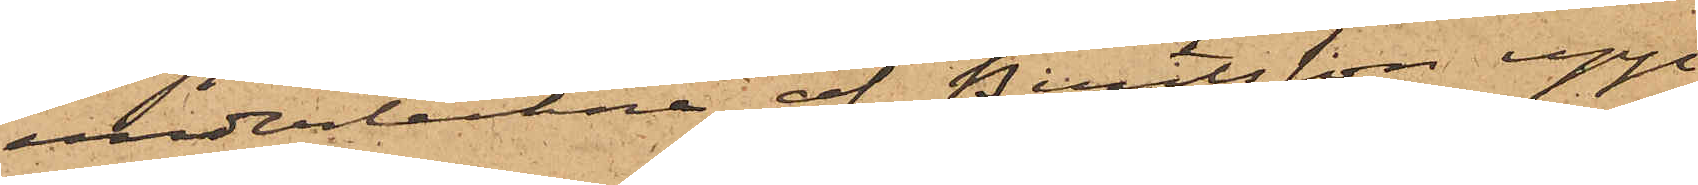underteckna af Berntsson upp¬
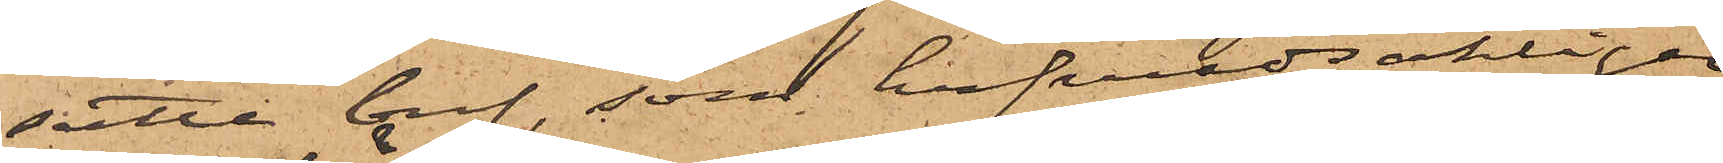satte bref, som hufvudsakligen
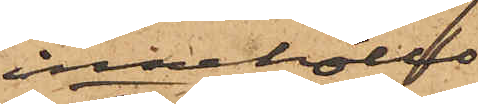innehöllo
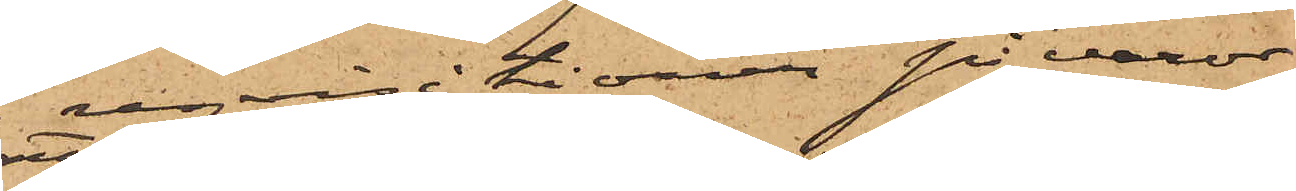reqvisitioner på varor,
